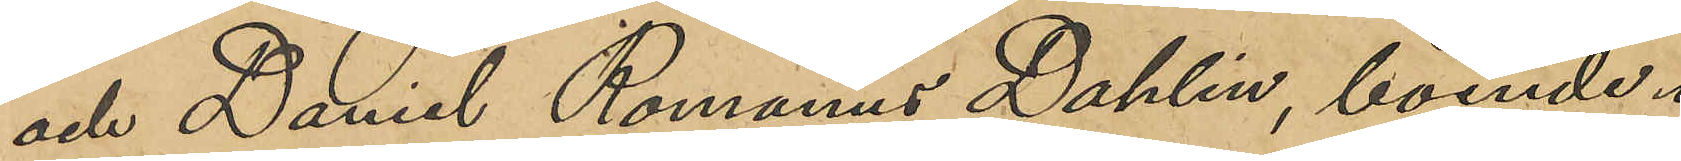och Daniel Romanus Dahlin, boende i
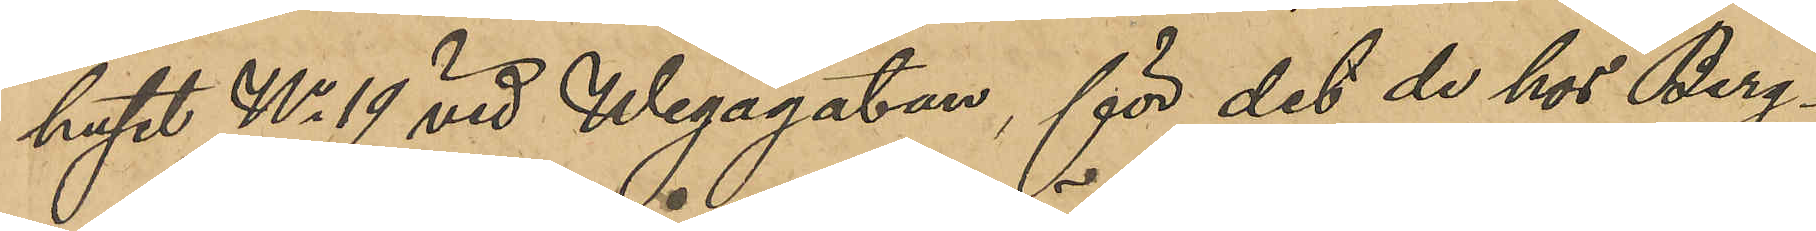huset No 19 vid Wegagatan, för det de hos Berg¬
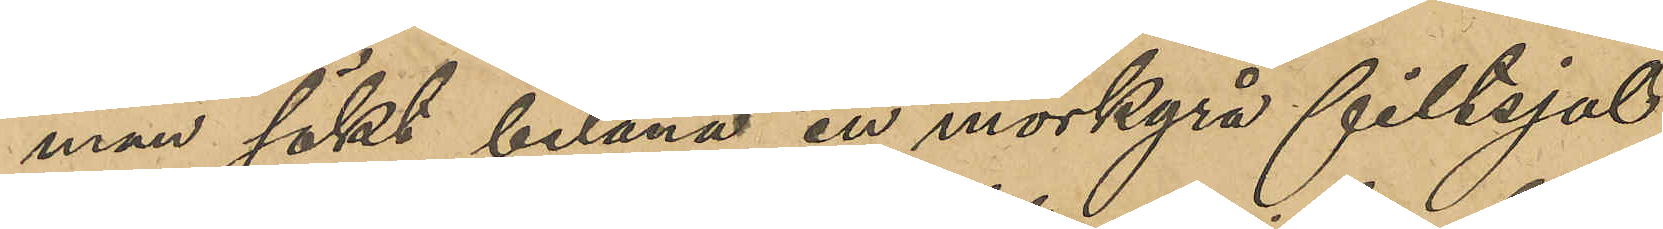man sökt belåna en mörkgrå filtsjal,
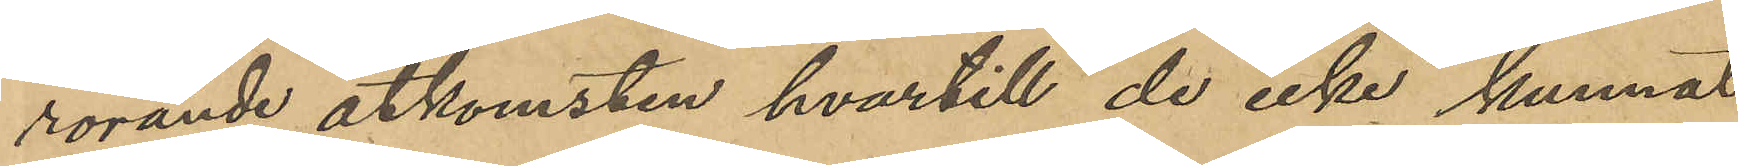rörande åtkomsten hvartill de icke kunnat
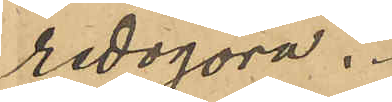redogöra.
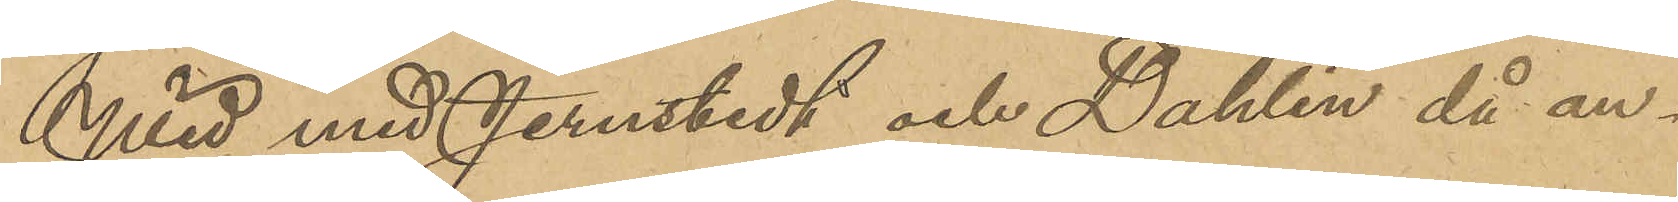Wid med Jernstedt och Dahlin då an¬
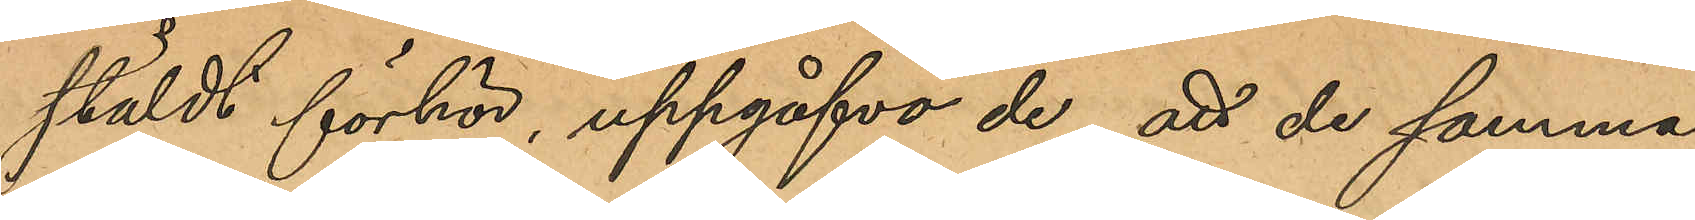stäldt förhör, uppgåfvo de, att de samma
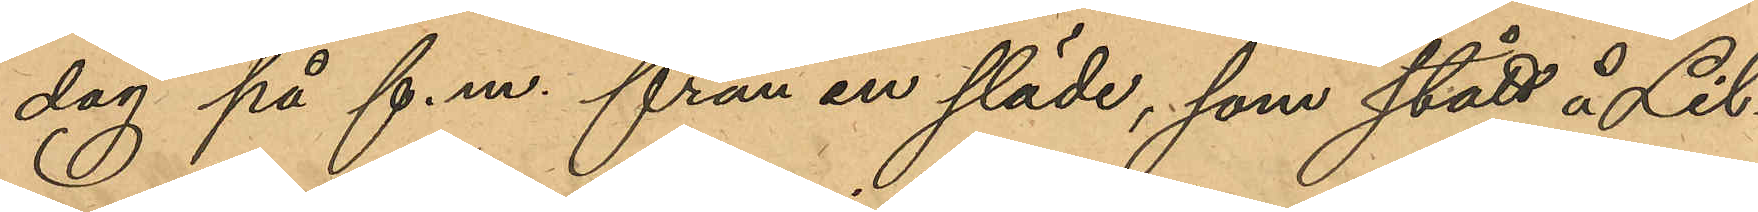dag på f.m. från en släde, som stått å Lil¬
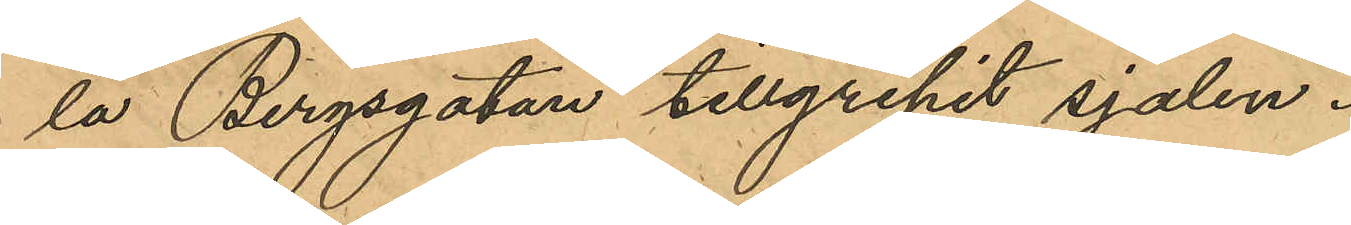la Bergsgatan tillgripit sjalen.
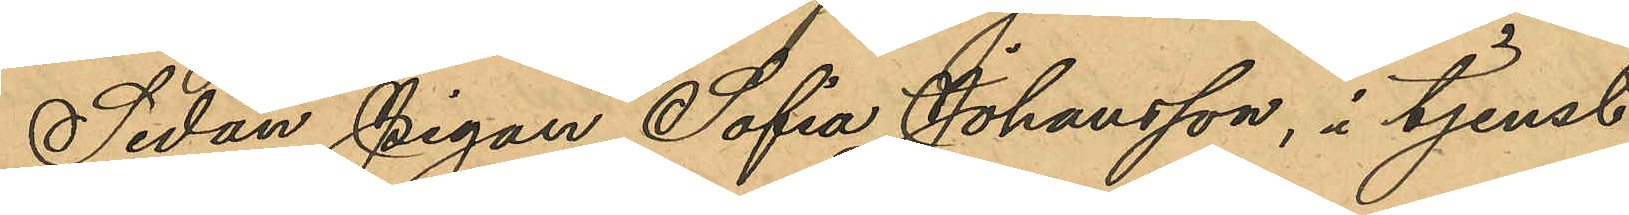Sedan Pigan Sofia Johansson, i tjenst
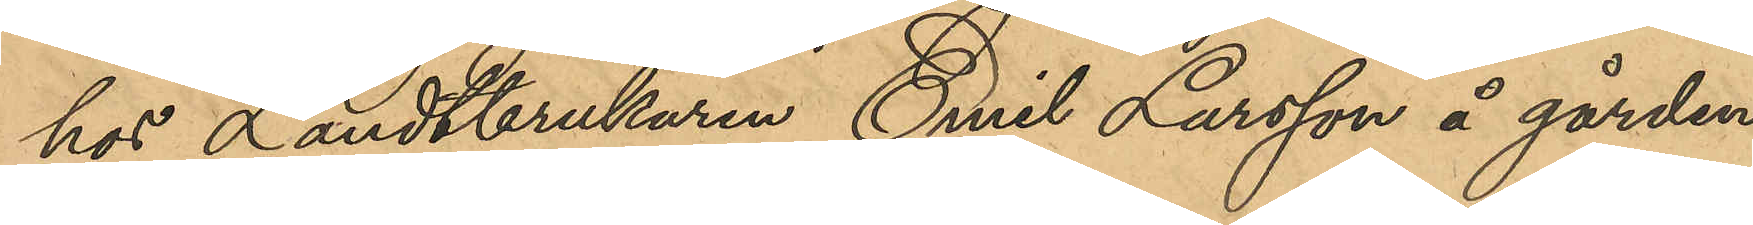hos Landtbrukaren Emil Larsson å gården
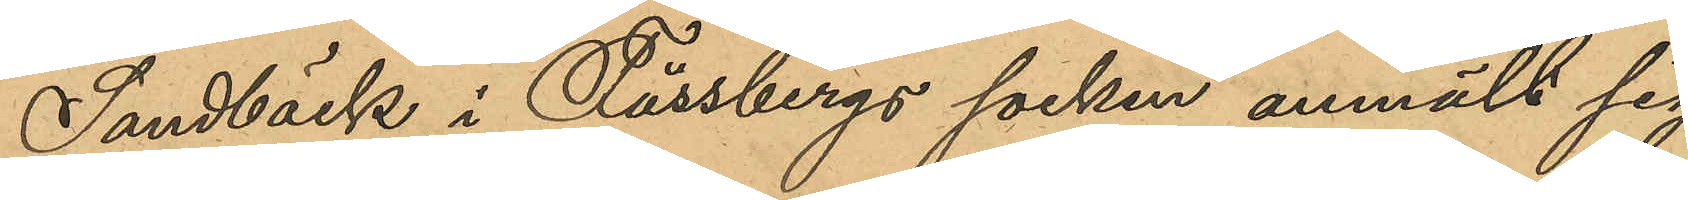Sandbäck i Fässbergs socken anmält sig
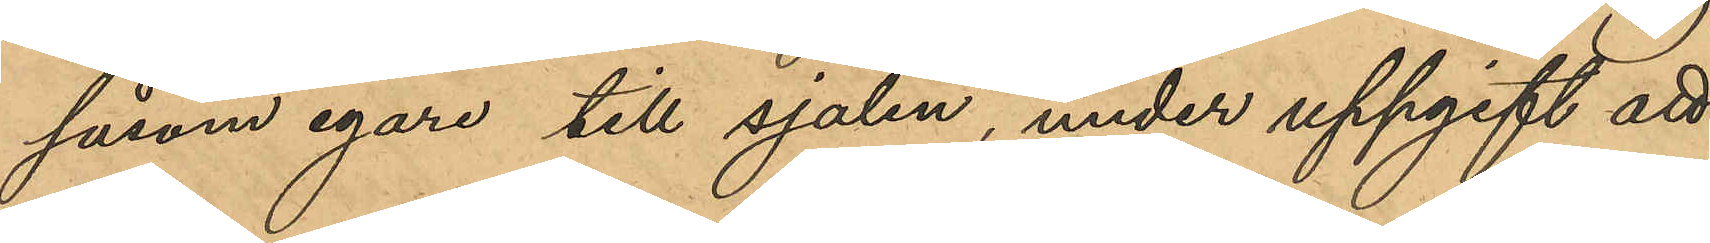såsom egare till sjalen, under uppgift att
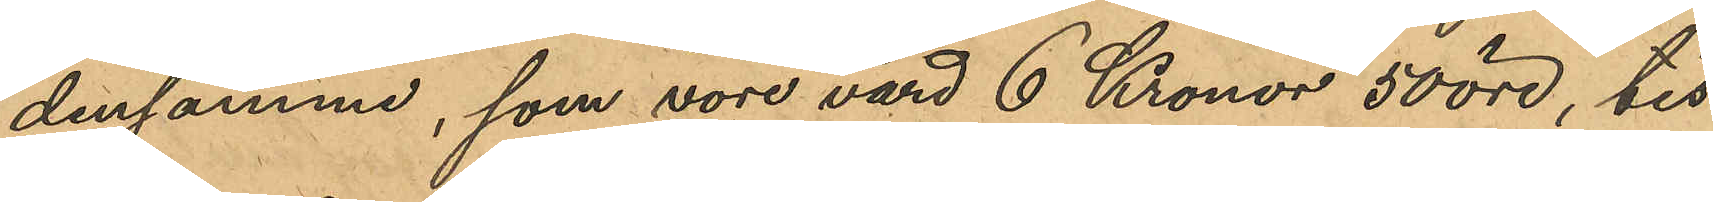densamme, som vore värd 6 Kronor 50 öre, tis¬
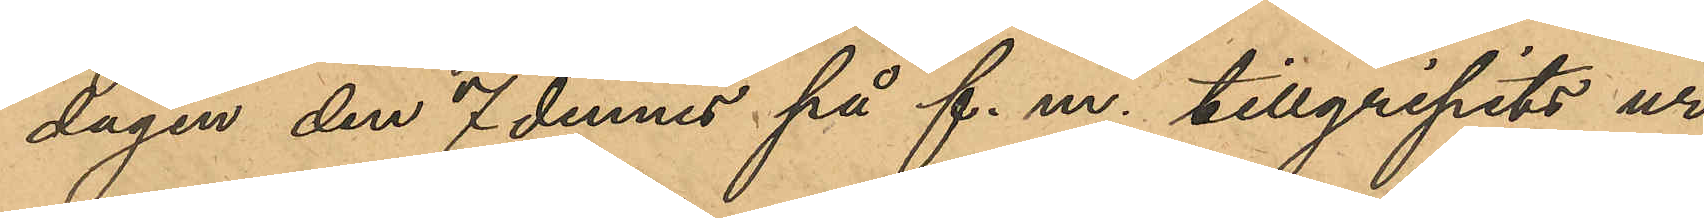dagen den 7 dennes på f. m. tillgripits ur
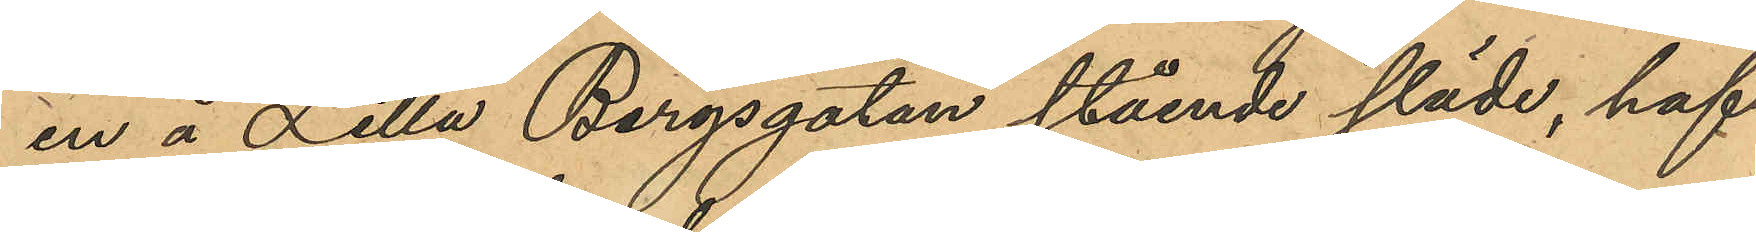en å Lilla Bergsgatan stående släde hafva
